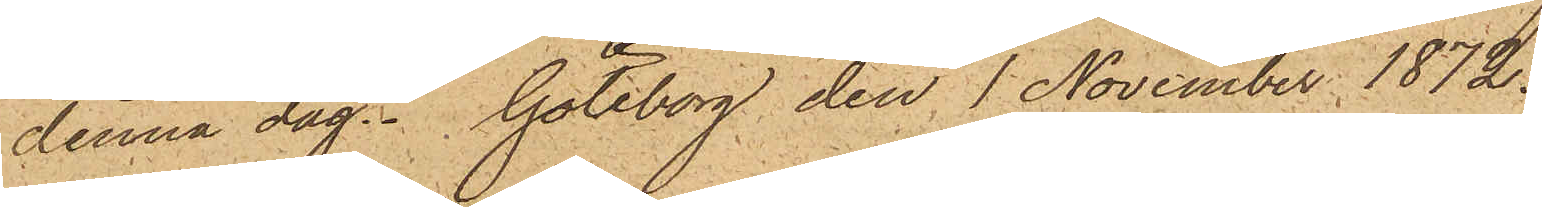denna dag. Göteborg den 1 November 1872.
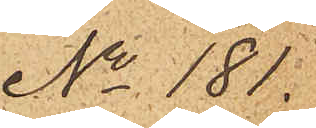No 181.
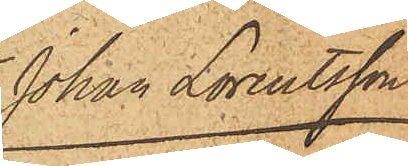Johan Lorentsson
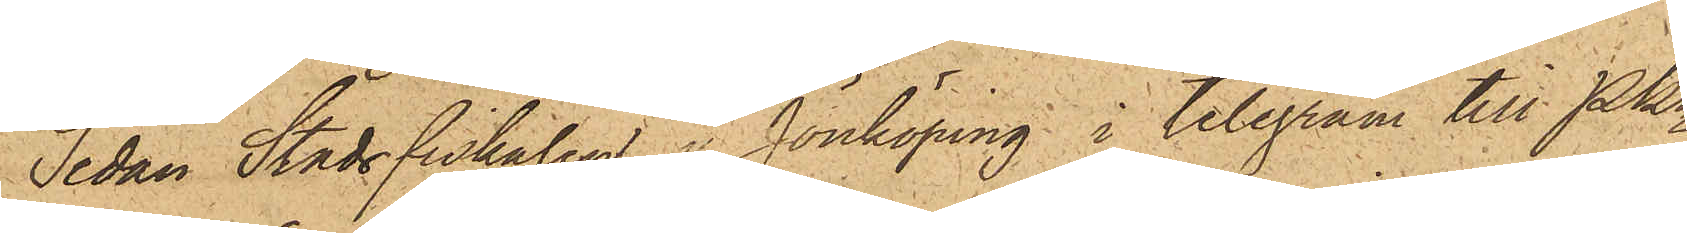Sedan Stadsfiskalen i Jönköping i telegram till Pkn
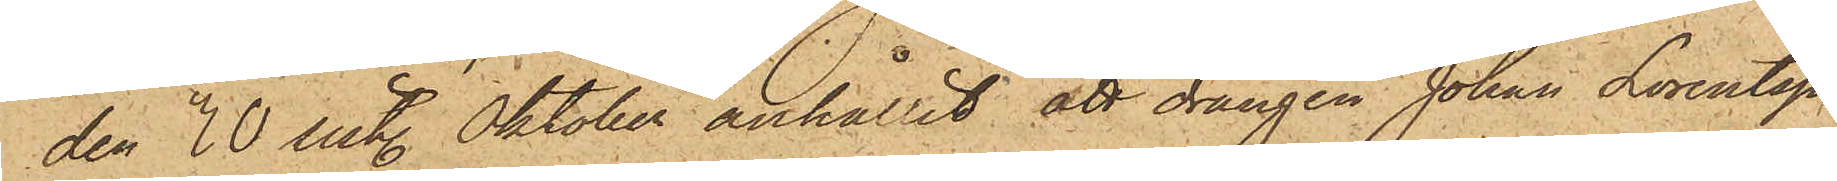den 30 sist. Oktober anhållit att drängen Johan Lorentsson
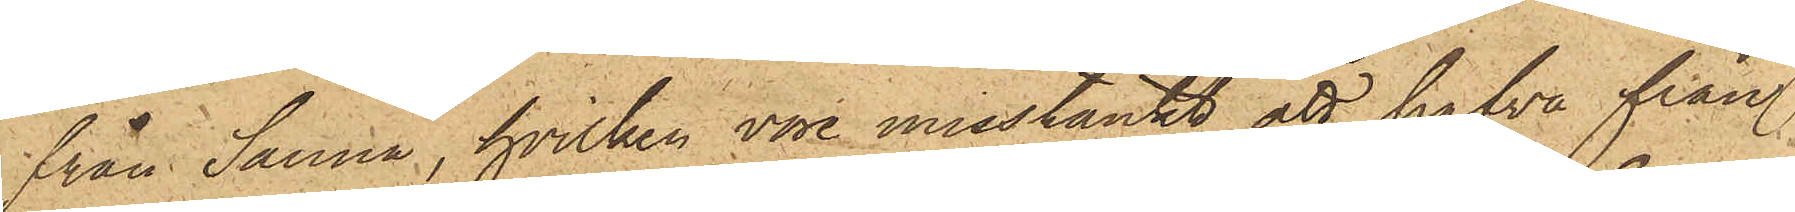från Sanna, hvilken vore misstänkt att hafva ifrån
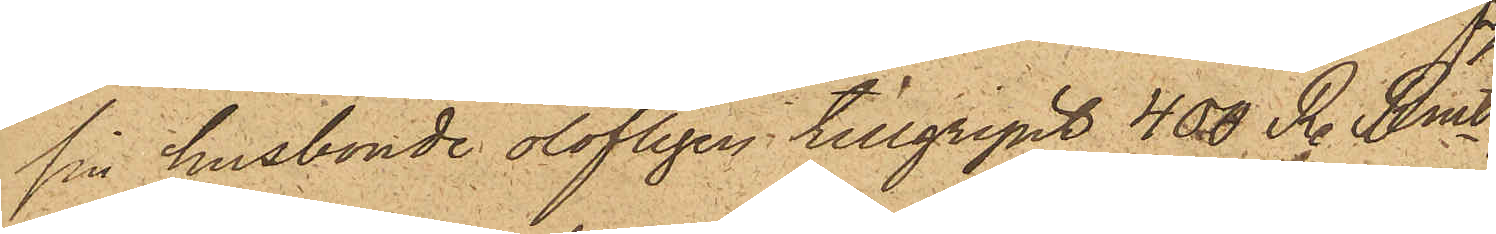sin husbonde olofligen tillgripit 400 R. Rmt,
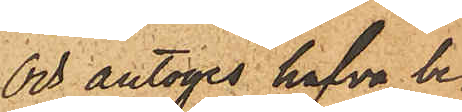och antages hafva be¬
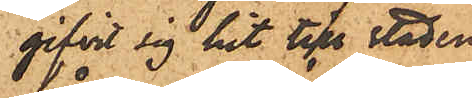gifvit sig hit till staden
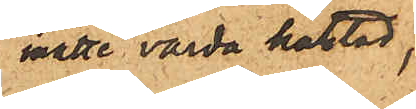måtte varda häktad,
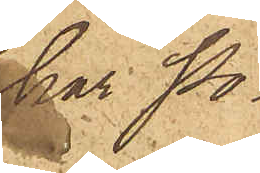har Po¬
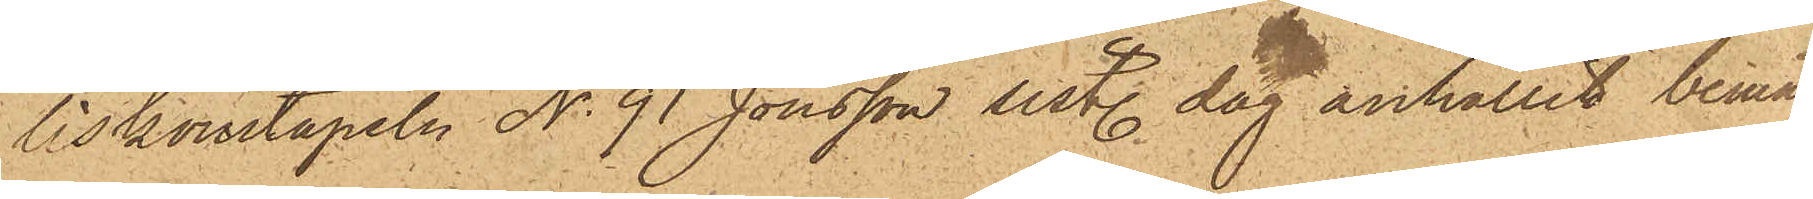liskonstapeln No 91 Jönsson sistl. dag anhållit bemäl¬
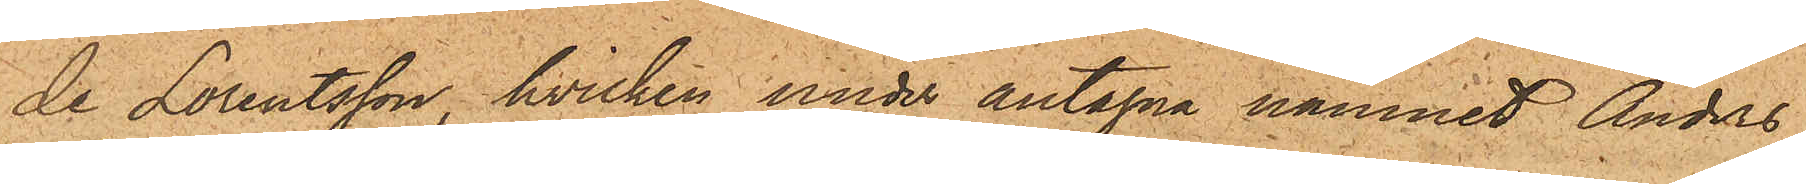de Lorentsson, hvilken under antagna namnet Anders
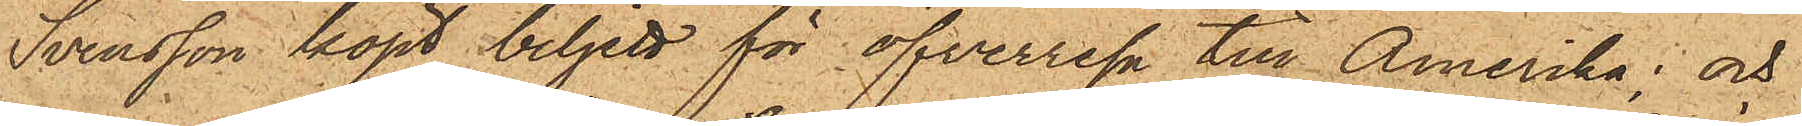Svensson köpt biljett för öfverresa till Amerika; och
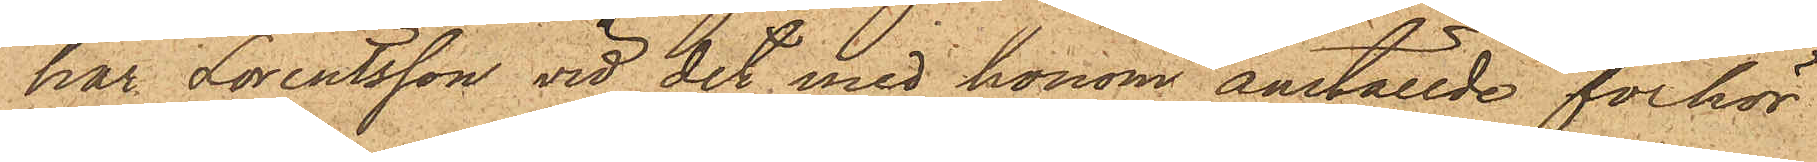har Lorentsson vid det med honom anställde förhör
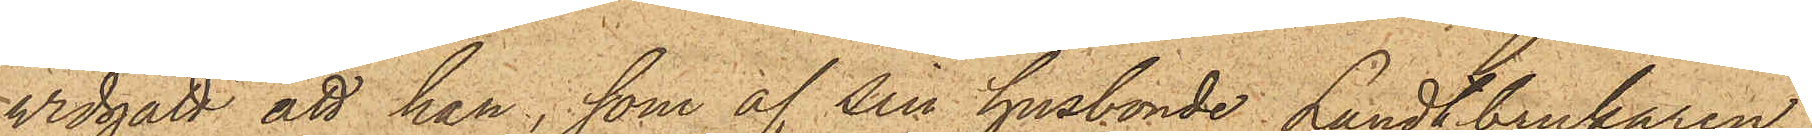vidgått att han, som af sin husbonde Landtbrukaren
